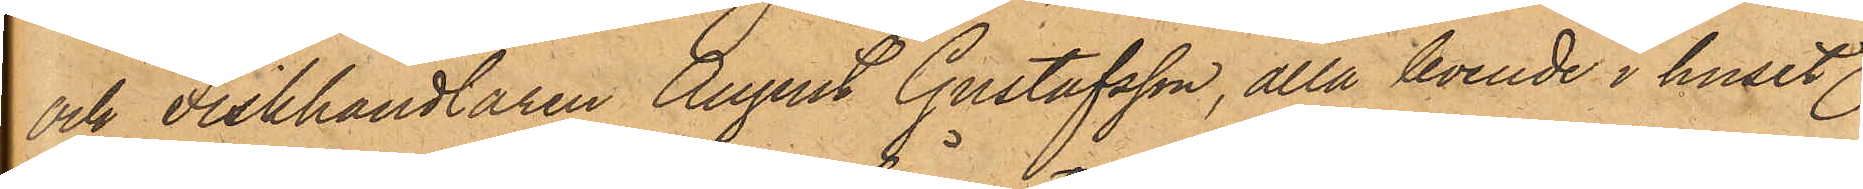och Fiskhandlaren August Gustafsson, alla boende i huset
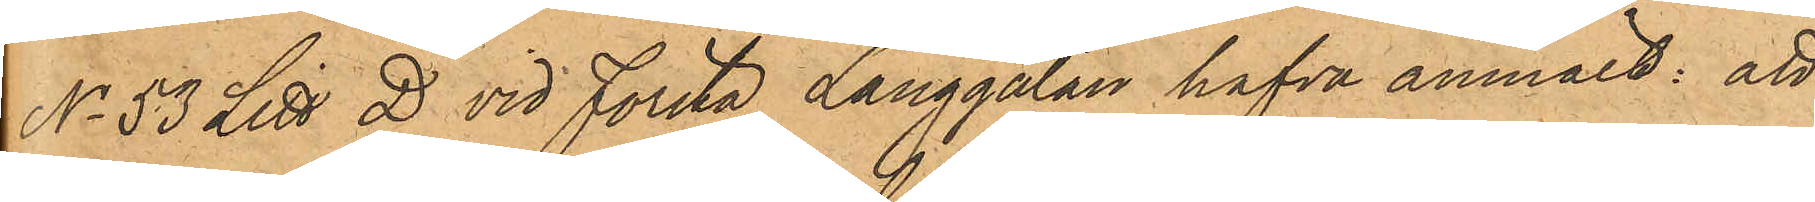No 53 Litt D vid Första Långgatan hafva anmält: att
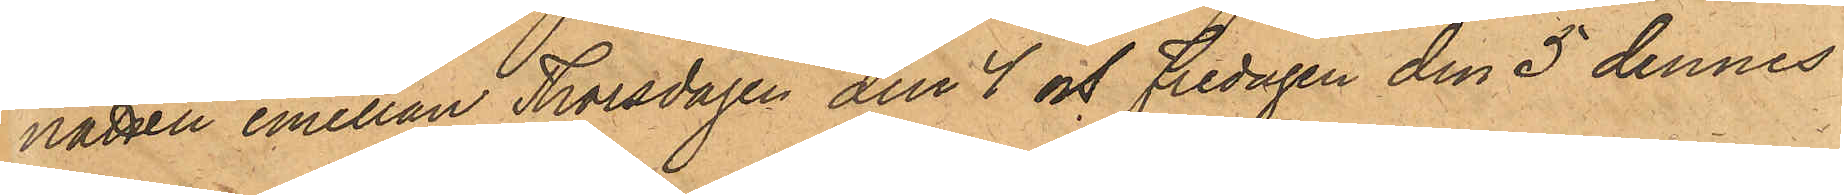natten emellan Thorsdagen den 4 och Fredagen den 5 dennes
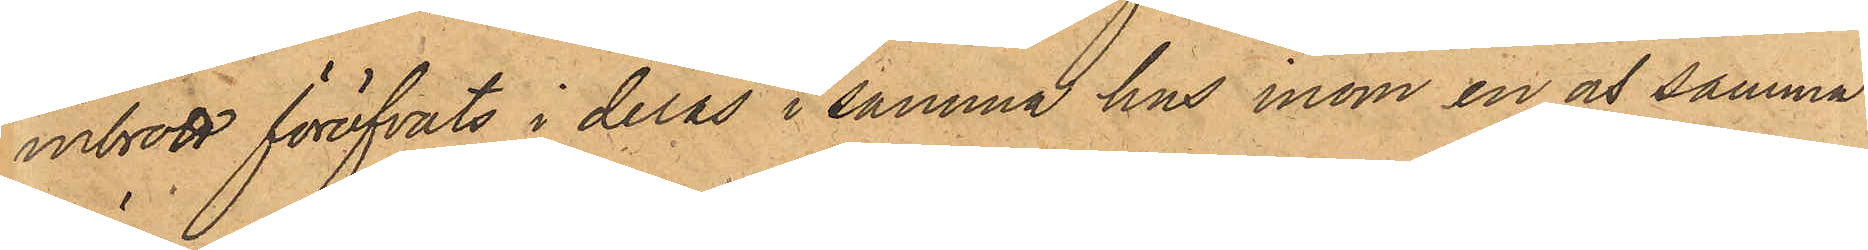inbrott föröfvats i deras i samma hus inom en och samma
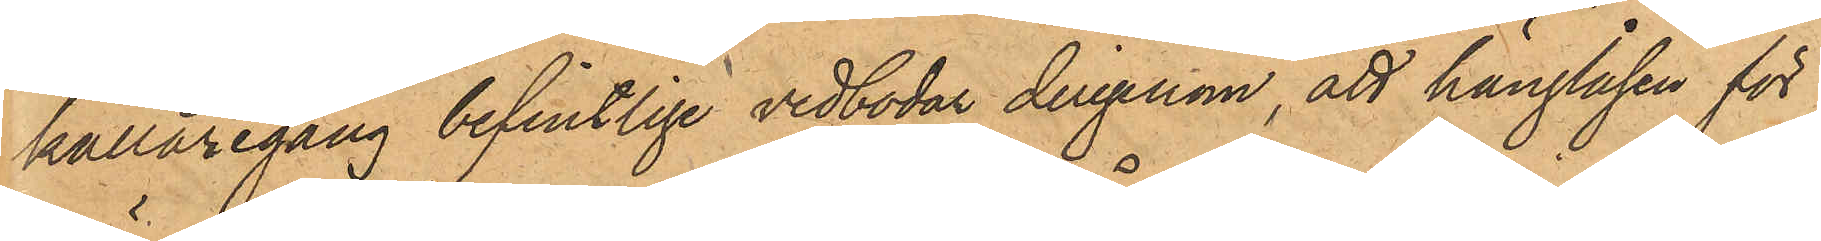källaregång befintlige vedbodar derigenom, att hänglåsen för
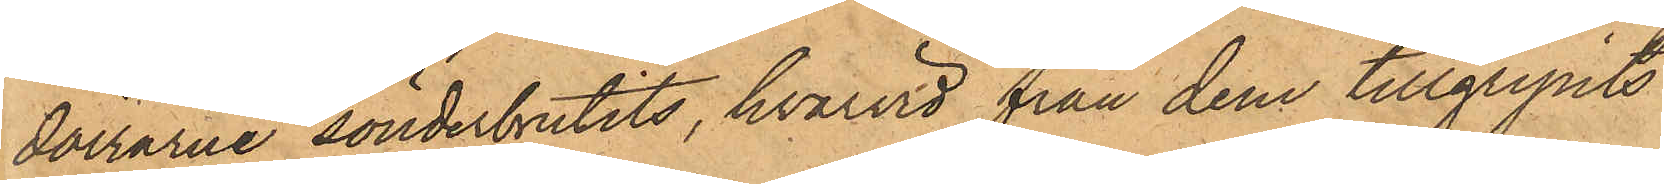dörrarne sönderbrutits, hvarvid från dem tillgripits
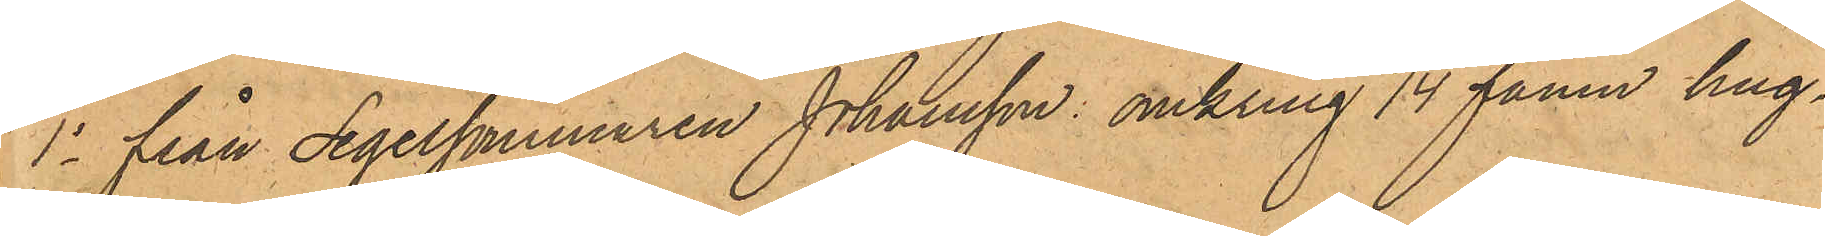1o fran Segelsömmaren Johansson: omkring 1/4 famn hug¬
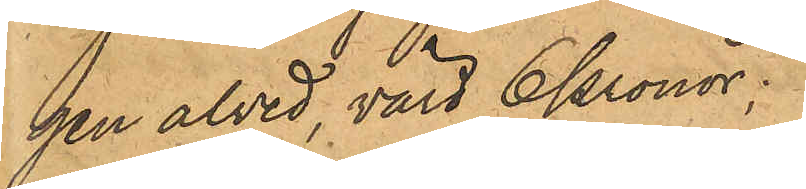gen alved, värd 6 Kronor;
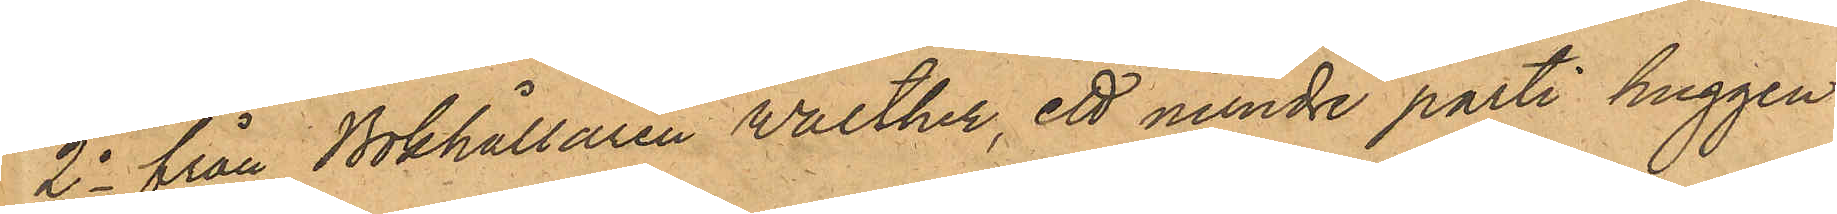2o från Bokhållaren Walther, ett mindre parti huggen
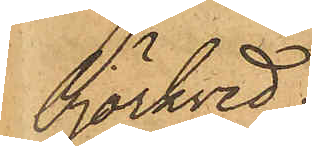björkved;
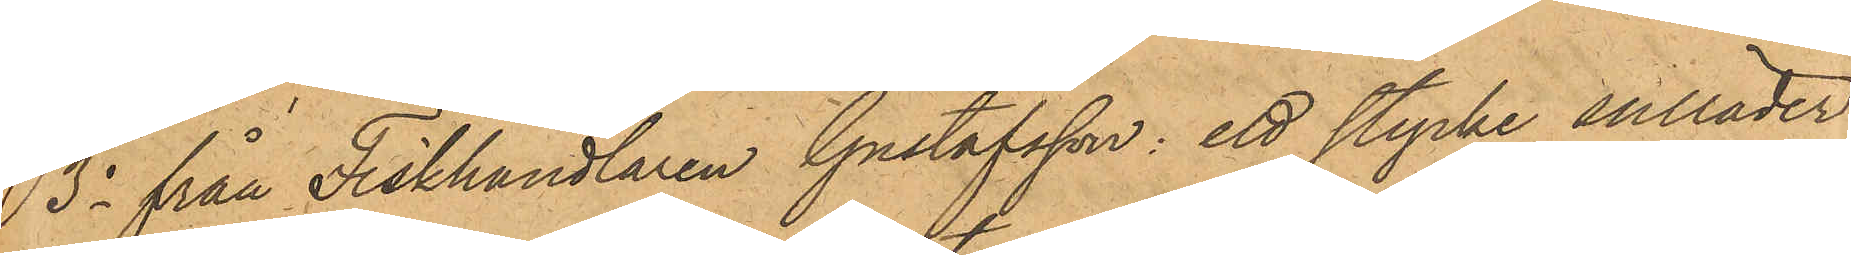3o från Fiskhandlaren Gustafsson: ett stycke sulläder
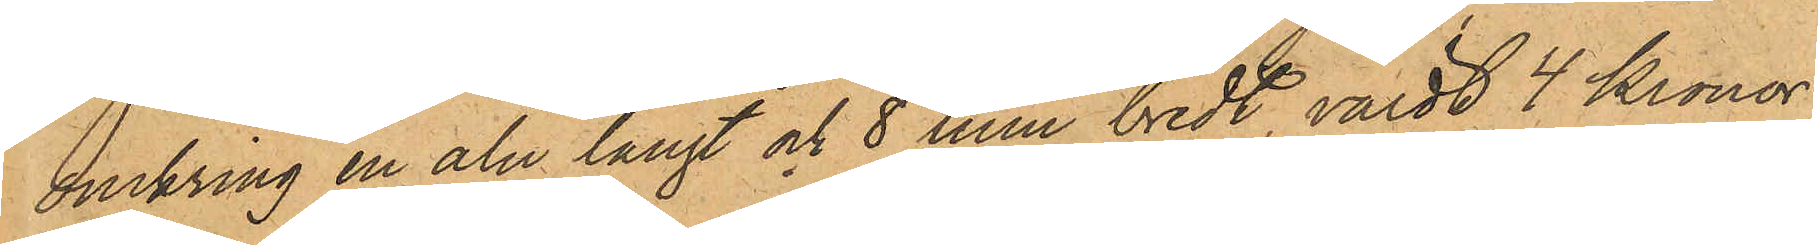omkring en aln långt och 8 tum bredt, värdt 4 kronor,
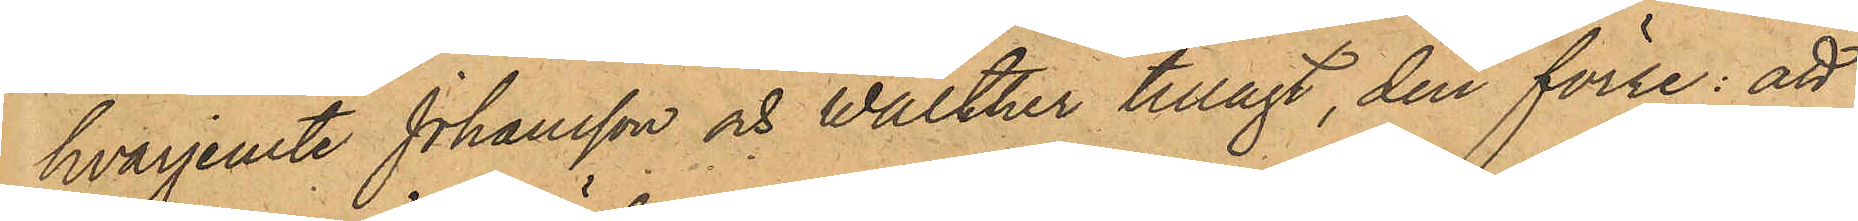hvarjemte Johansson och Walther tillagt, den förre: att
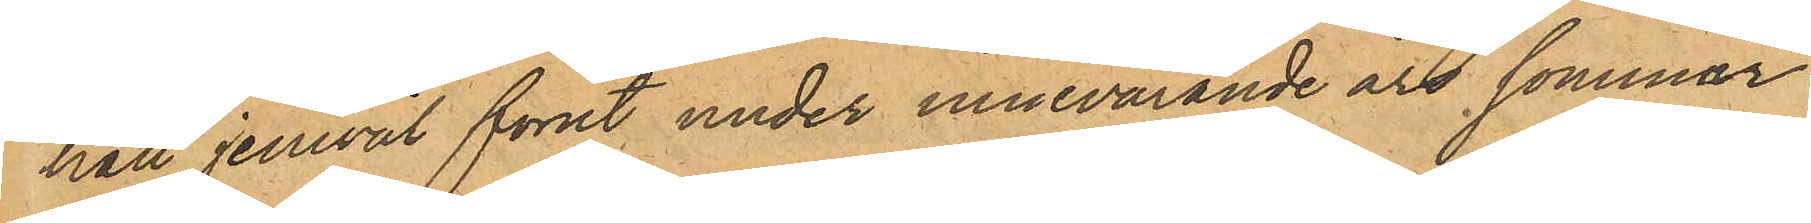han jemväl förut under innevarande års sommar
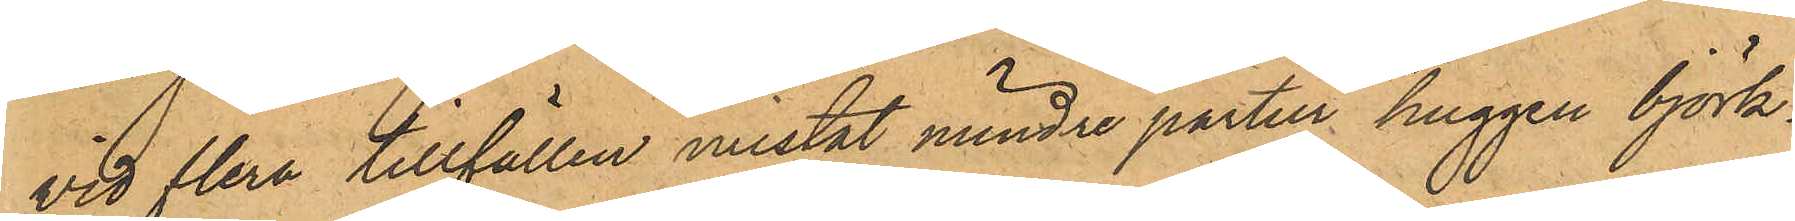vid flera tillfällen mistat mindre partier huggen björk¬
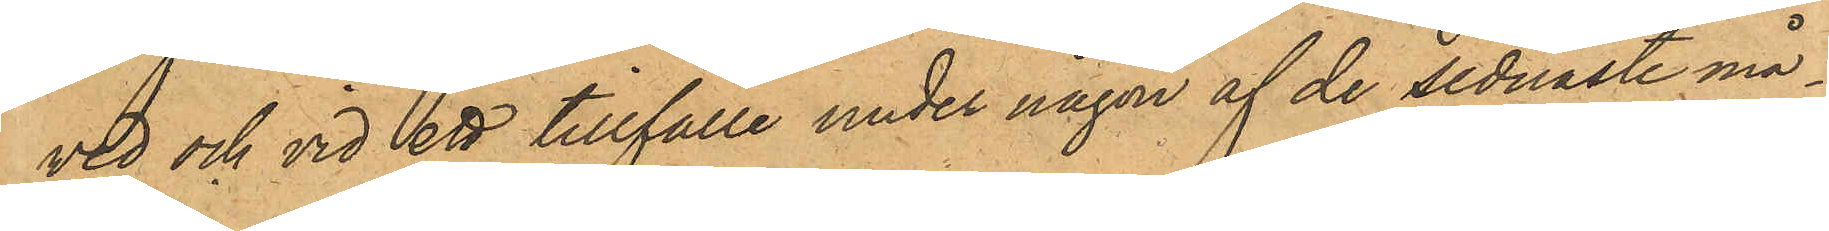ved och vid ett tillfälle under någon af de sednaste må¬
